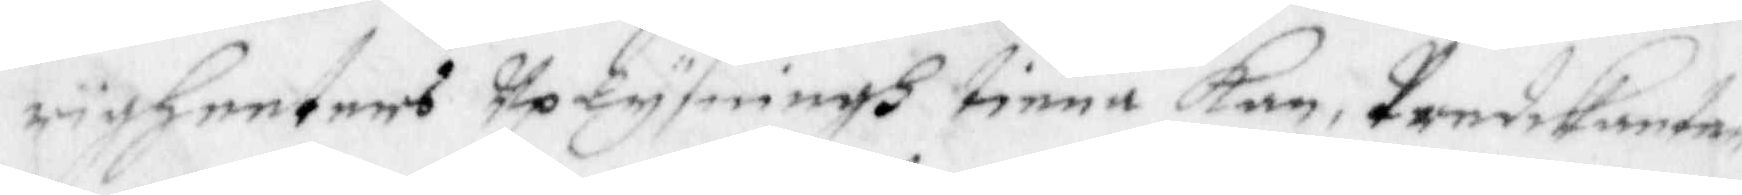righeeters uplysningh tiena kan, Predikanten
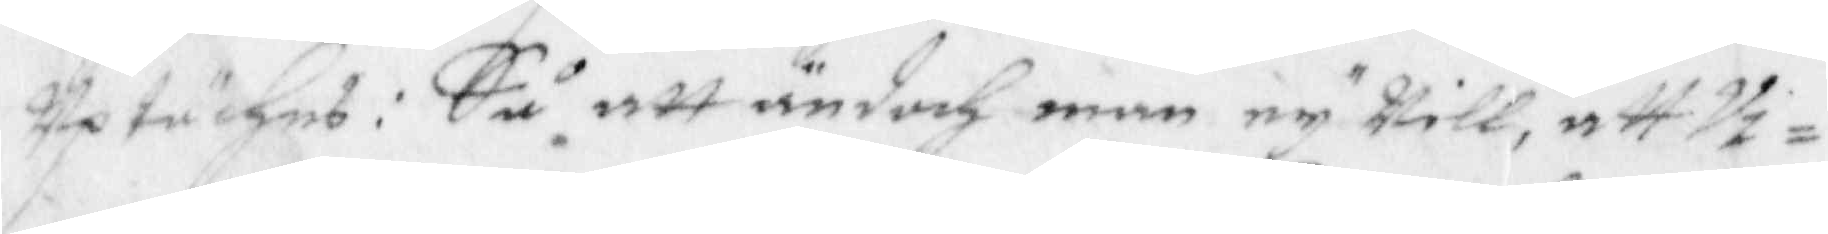Uptäches: Så att andoch man ey will, att Vi¬
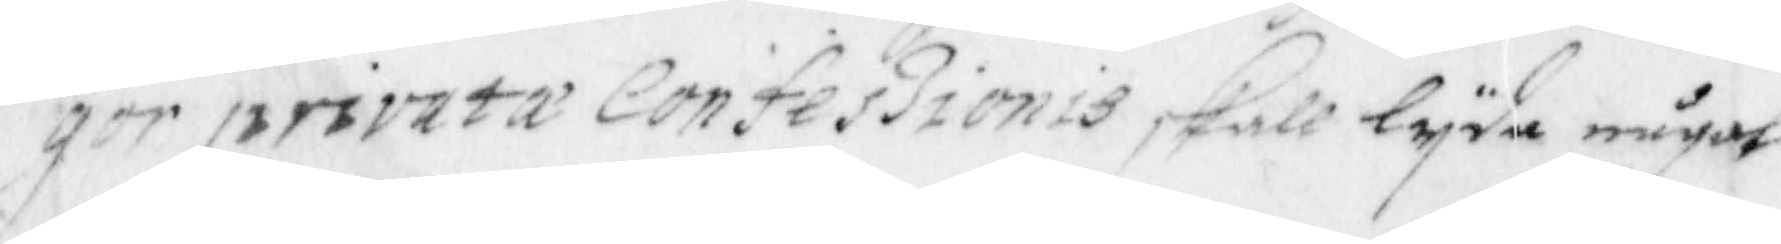gor privata Confeszionis skall lyda något
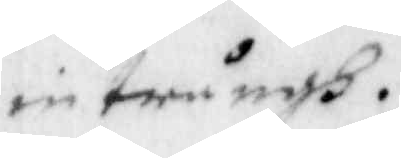intrångh.
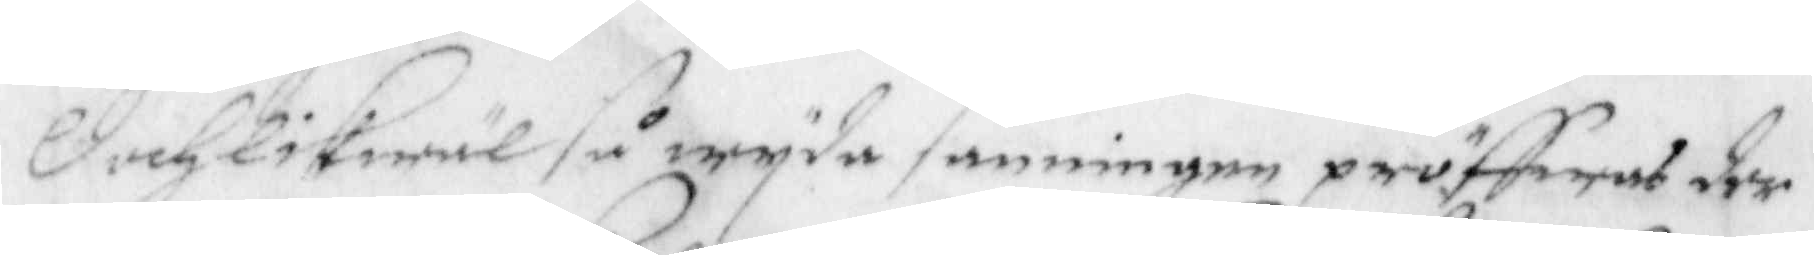Doch likwäl så wyda sanninen pröffwas der
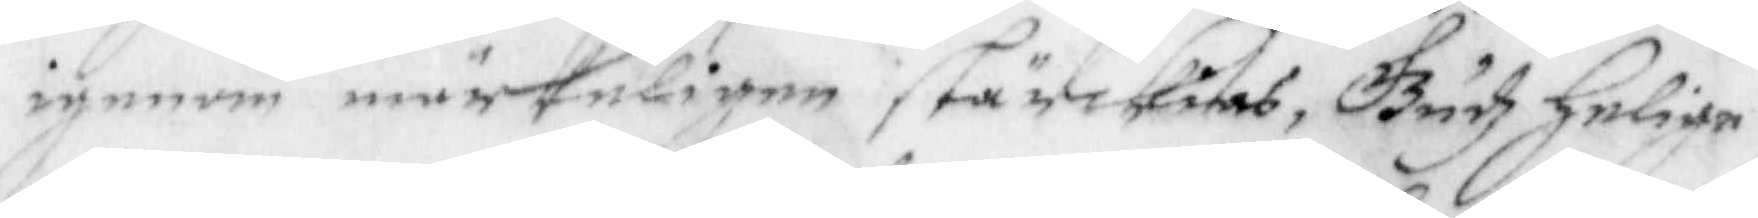igenom märkeligen stärckias, Gudz Helige
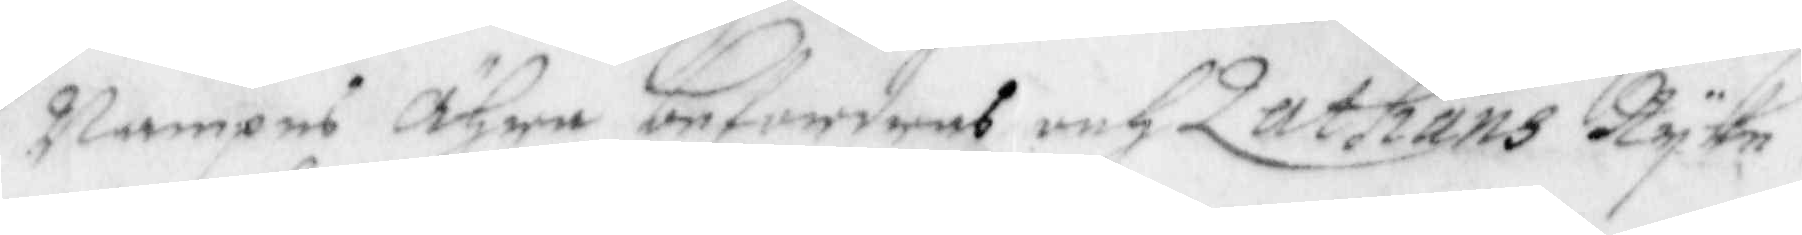Nampns Ähre befordras och Zathans Ryke
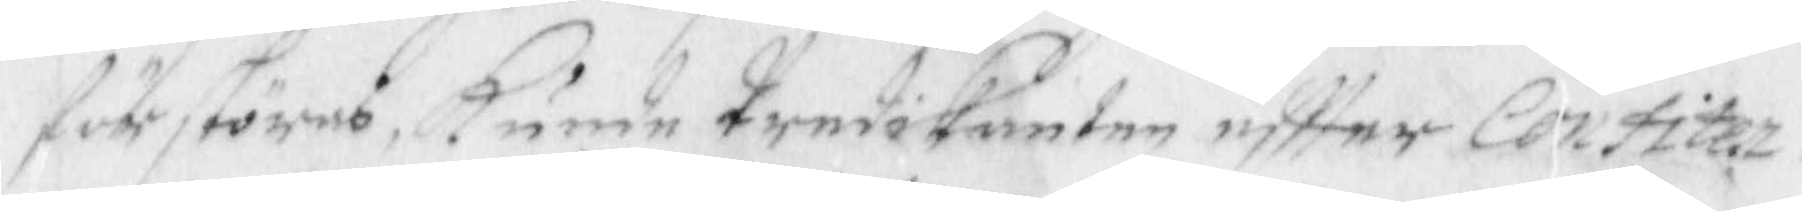förstöres, Kunde Predikanten eftter Contiten¬
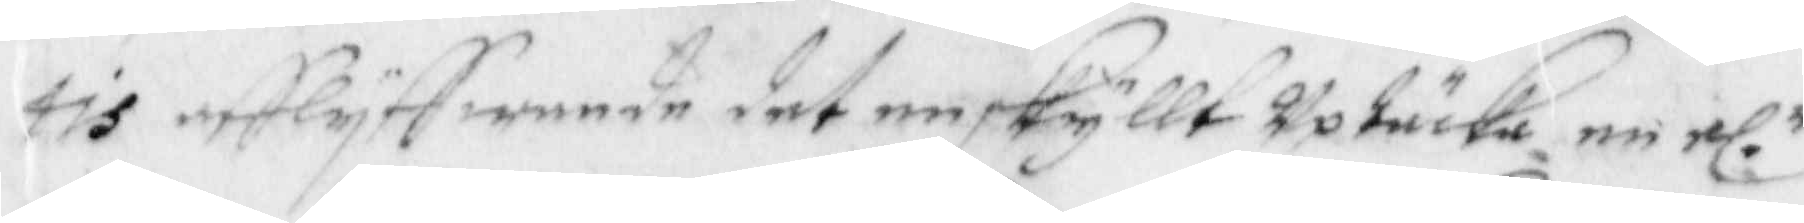tis afflyffwande dett enskyllt uptäska en rl. r
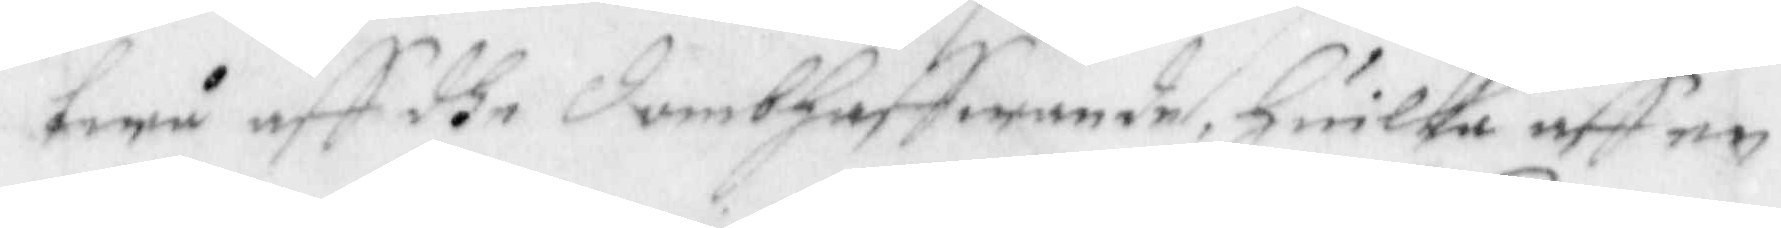twå aff dhe dombhaffwande, huilka aff en
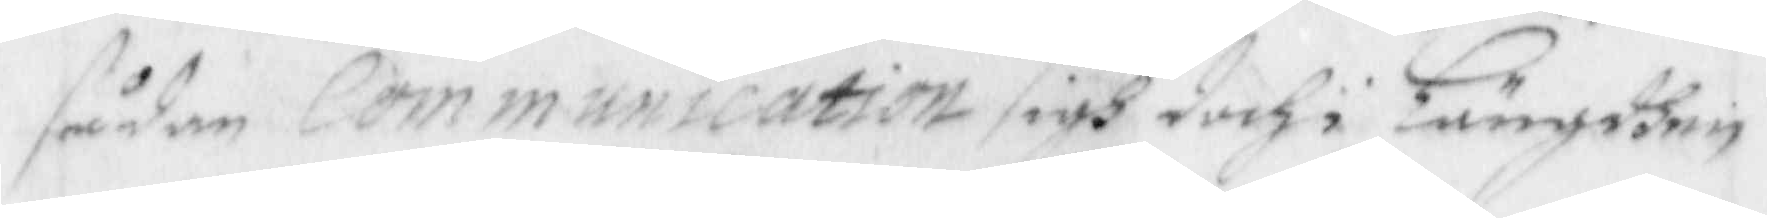sådan Communication sigh doch i Längdhen
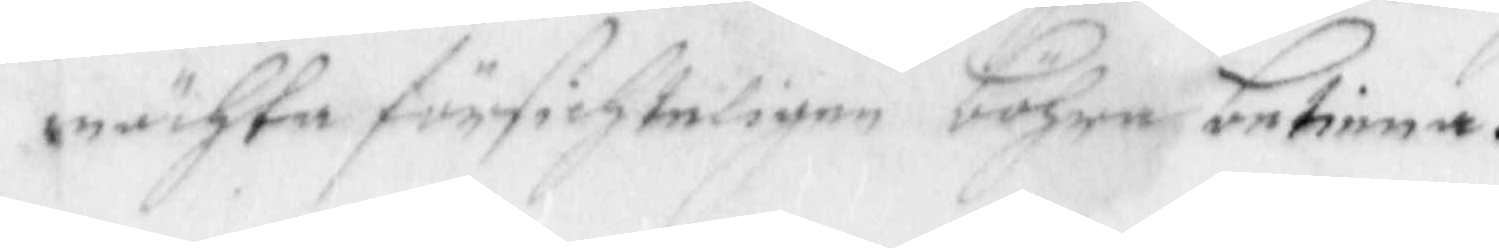mächta försichteligen böhra betiena.
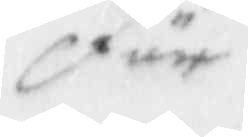För
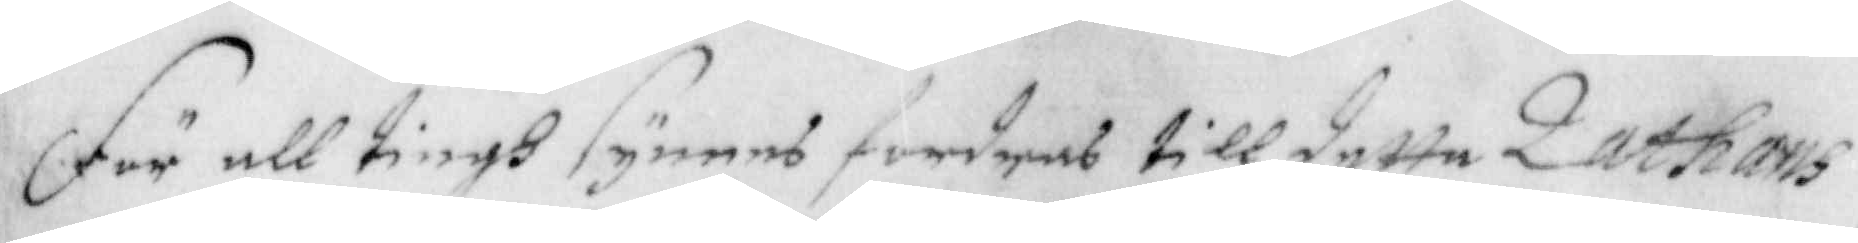För all tingh synees fordras till dette Zathans
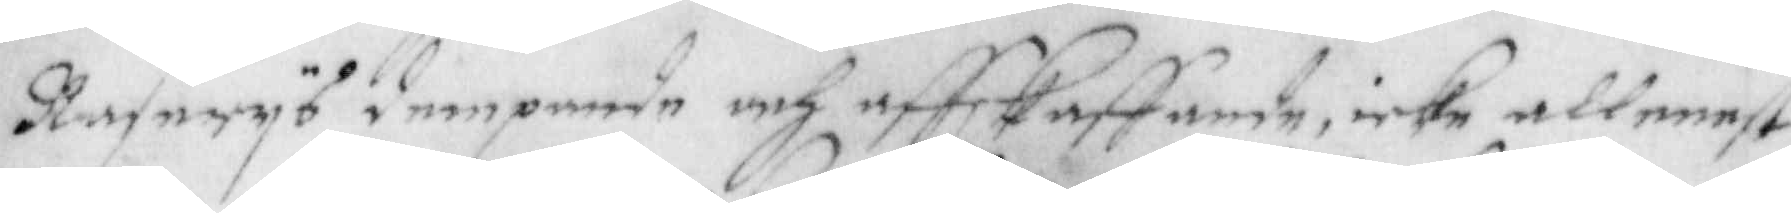Raserys dempande och affskaffande, icke allenast
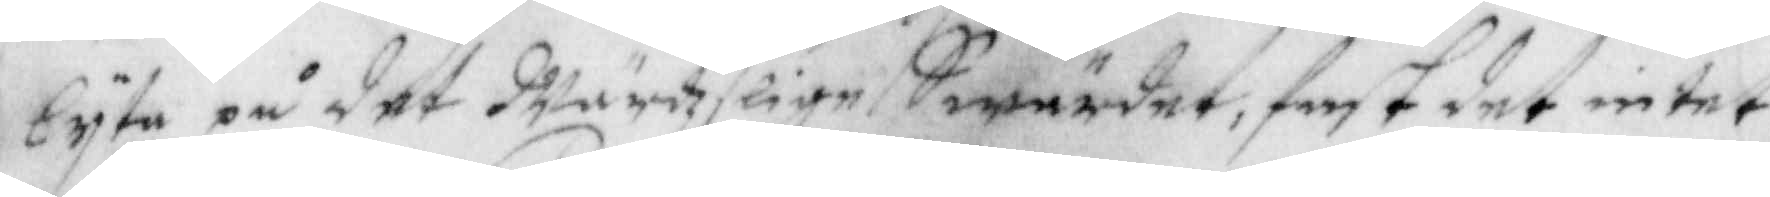lyta på det Wärdzslige Swärdet, fast det intet
